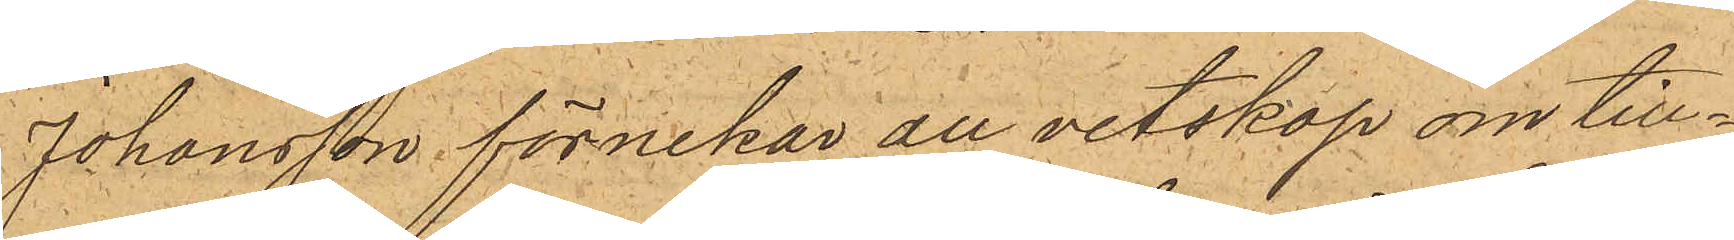Johansson förnekar all vetskap om till¬
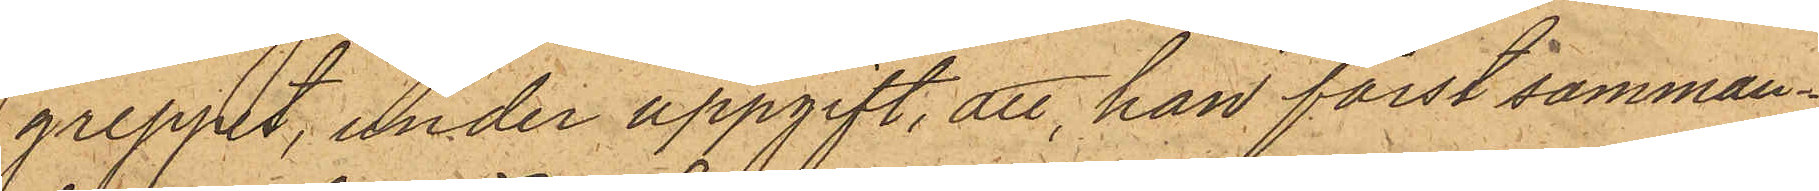greppet, under uppgift, att han först samman¬
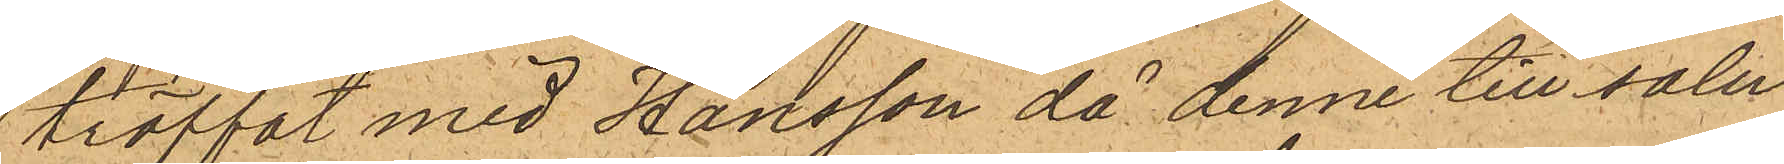träffat med Hansson då denne till salu
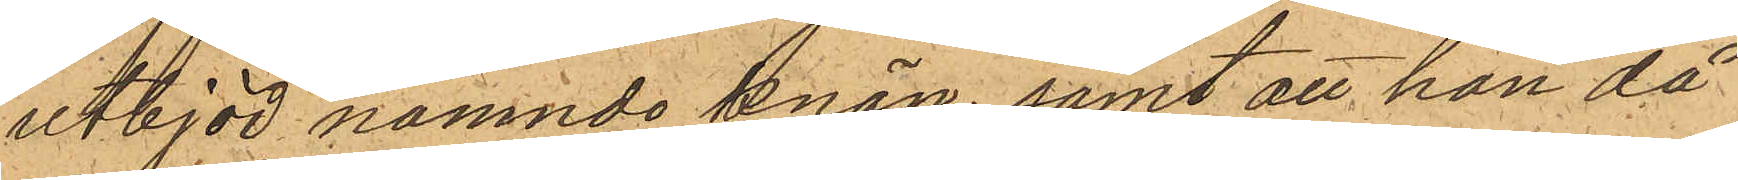utbjöd nämnde knän; samt att han då
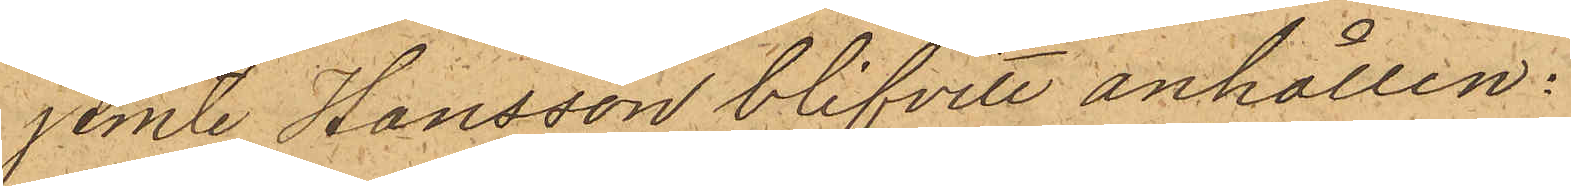jemte Hansson blifvit anhållen.
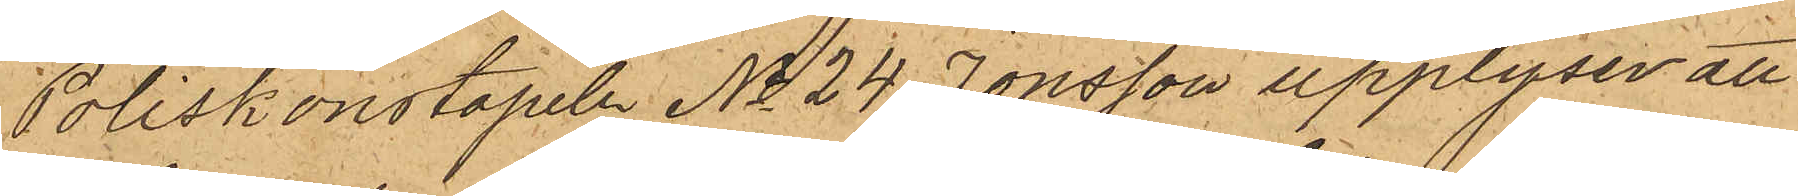Poliskonstapeln No 24 Jonsson upplyser att
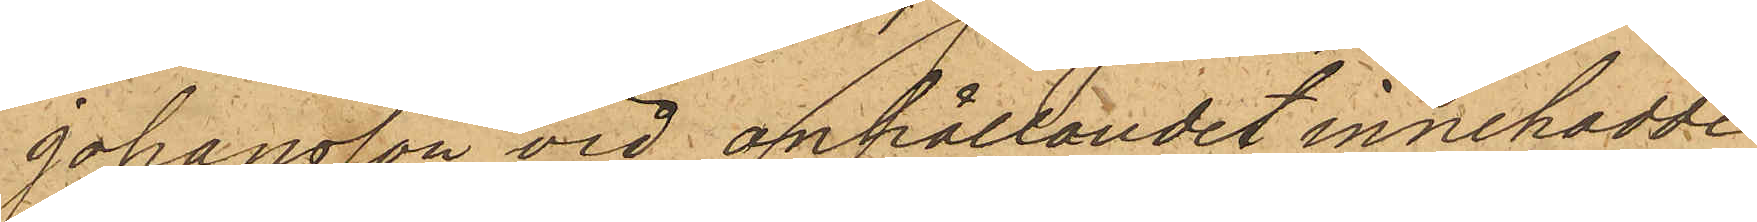Johansson vid anhållandet innehadde
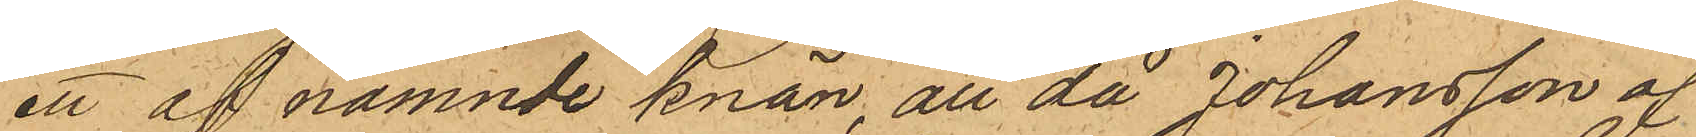ett af nämnde knän, att då Johansson af
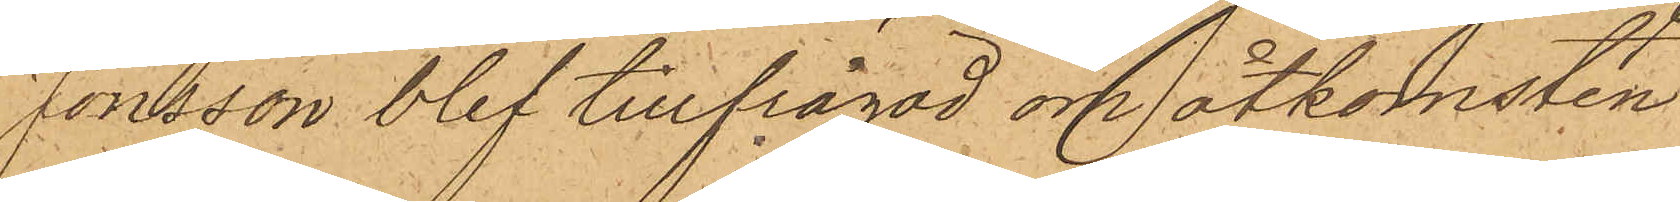Jonsson blef tillfrågad om åtkomsten
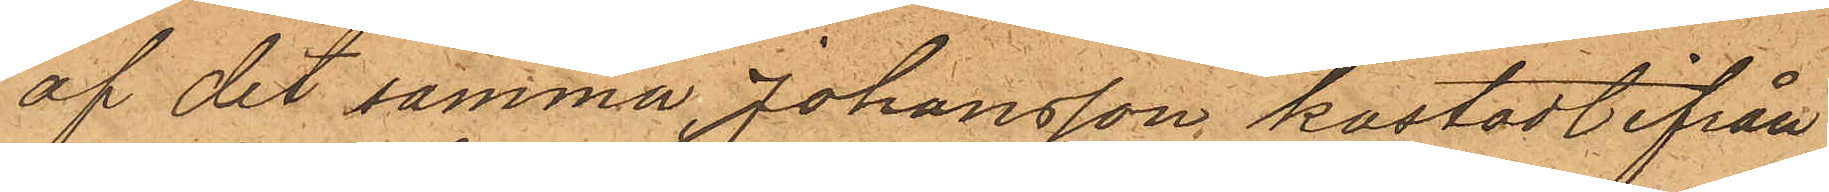af det samma, Johansson kastadt ifrån
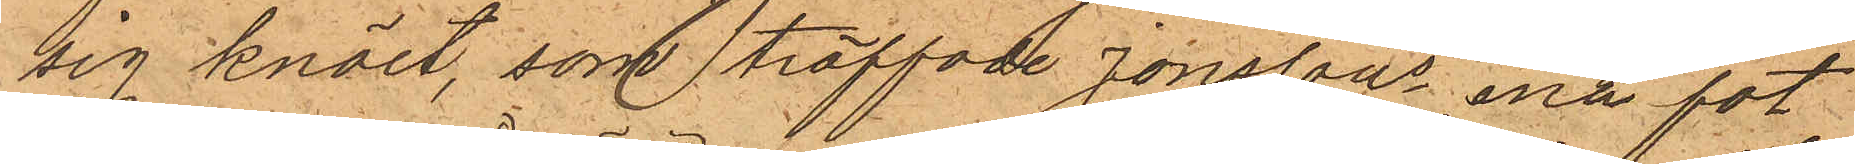sig knäet, som träffade Jonssons ena fot
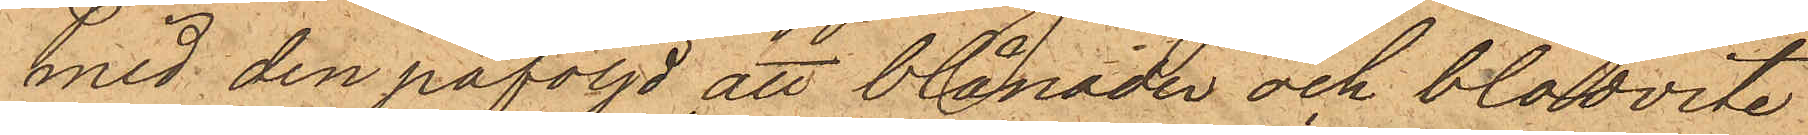med den påföljd att blånader och blodvite
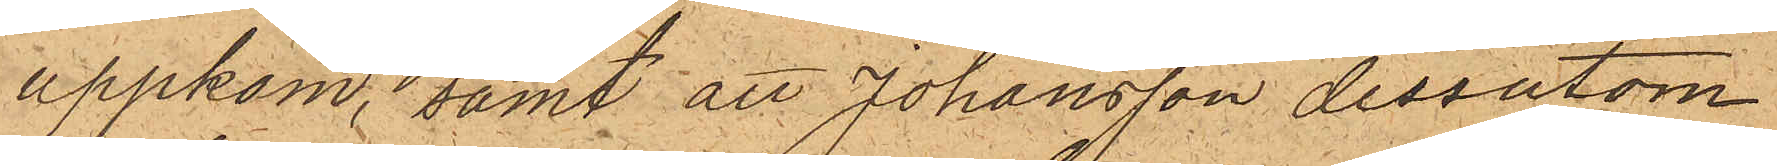uppkom, samt att Johansson dessutom
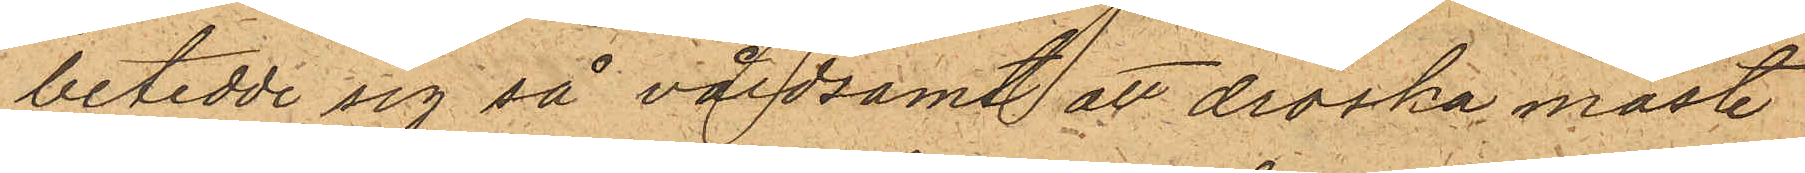betedde sig så våldsamt att droska måste
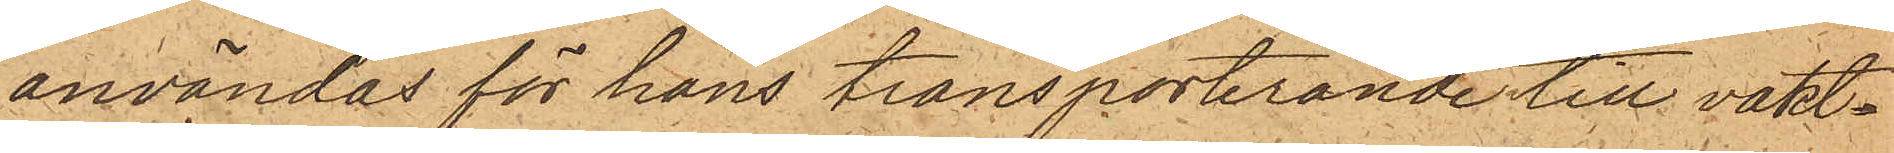användas för hans transporterande till vakt¬
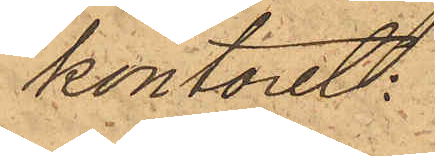kontoret:
